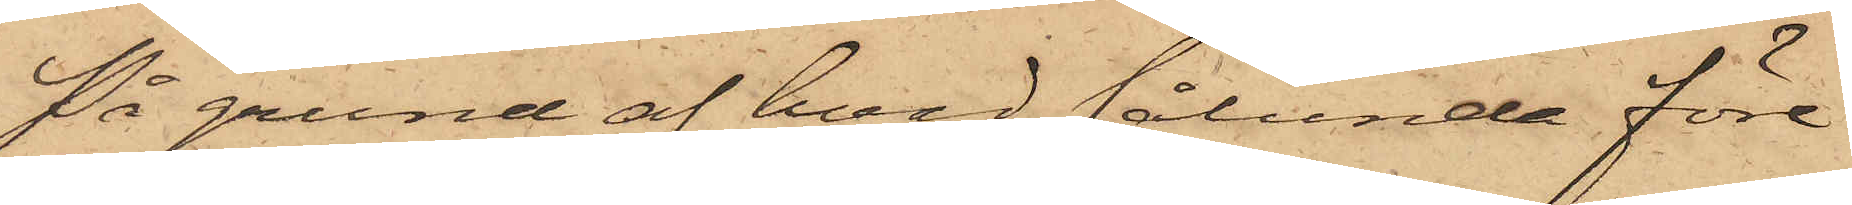På grund af hvad sålunda före¬
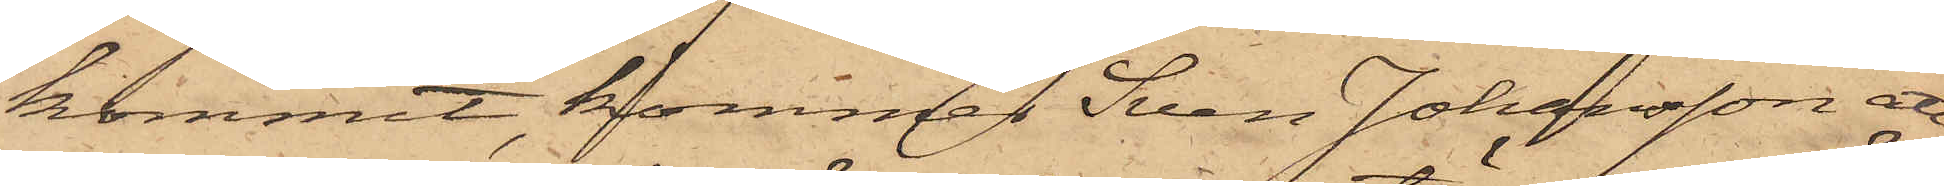kommit, kommer Sven Johansson att
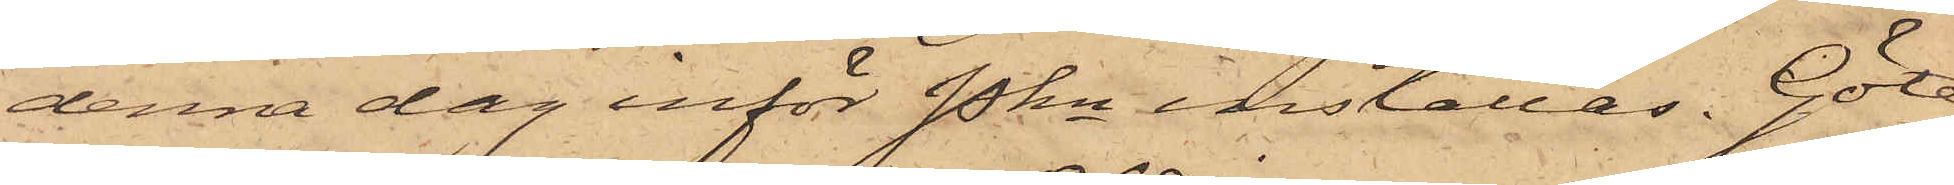denna dag inför Pkn inställas. Göte¬
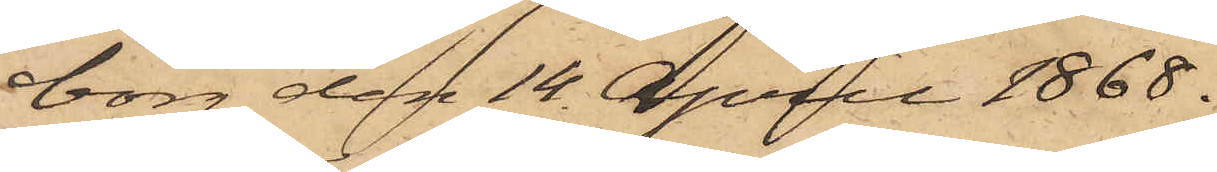borg den 14 April 1868.
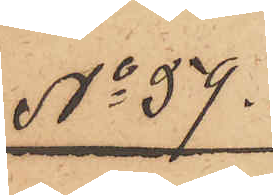No 59.
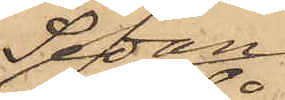Sedan
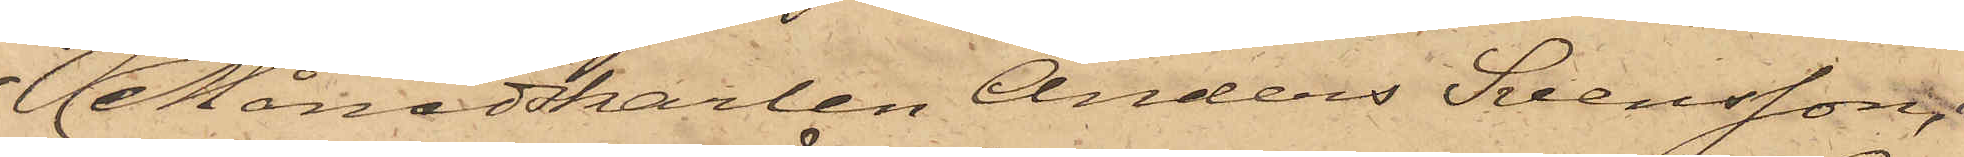Månadskarlen Anders Svensson, i
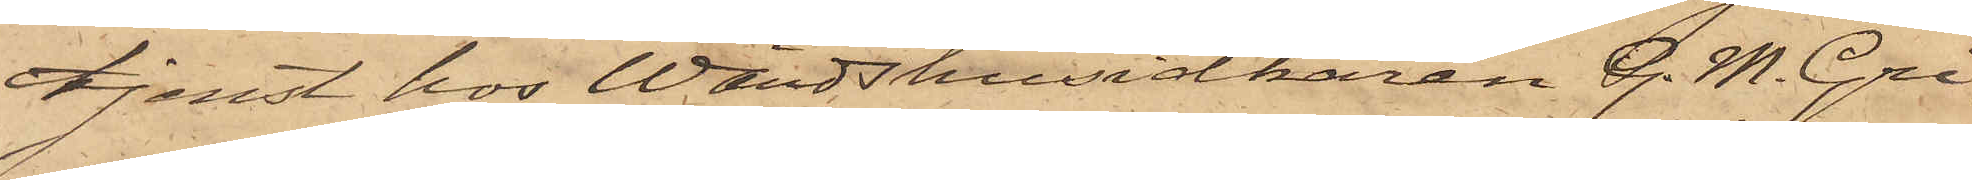tjenst hos Wärdshusidkaren G. M. Gri¬
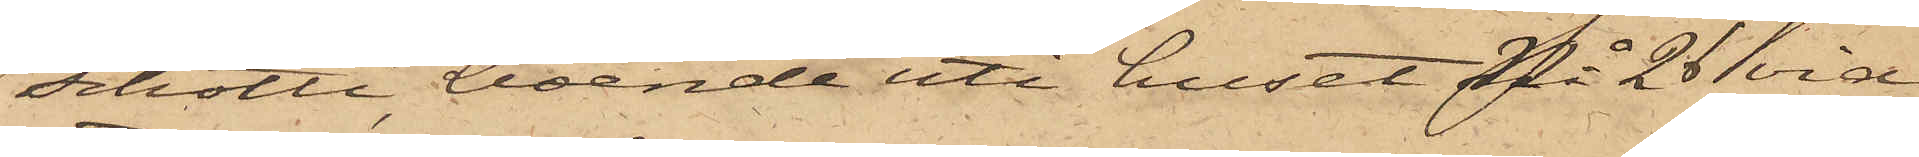schotti, boende uti huset No 26 vid
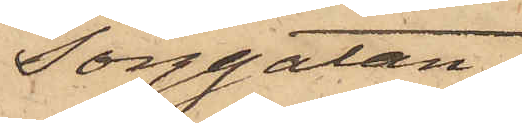Torggatan,
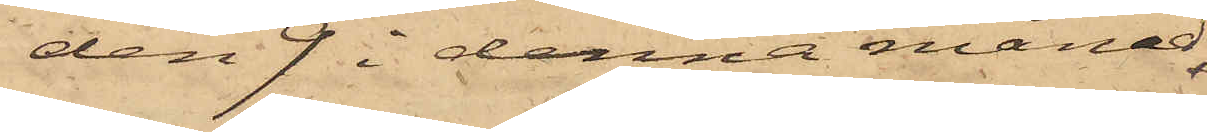den 9 i denna månad
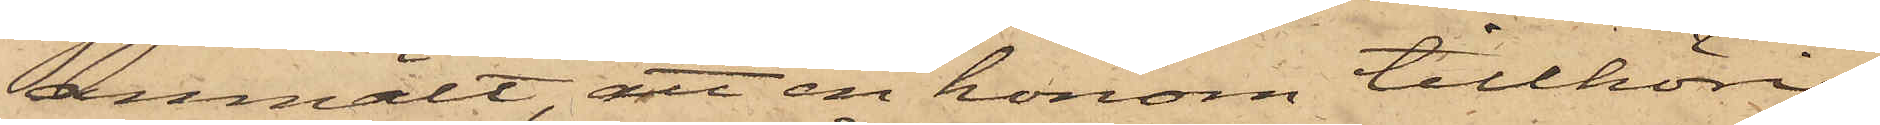anmält, att en honom tillhörig
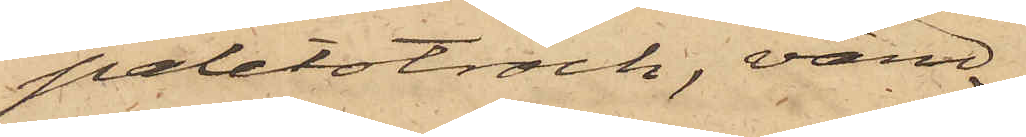paletotrock, värd
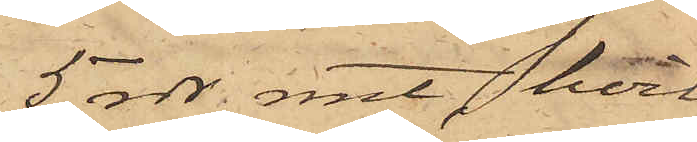5 rdr. rmt, hvil¬
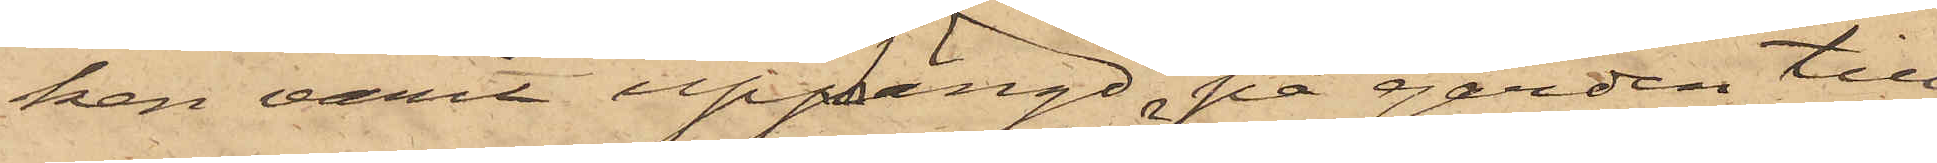ken varit upphängd på gården till
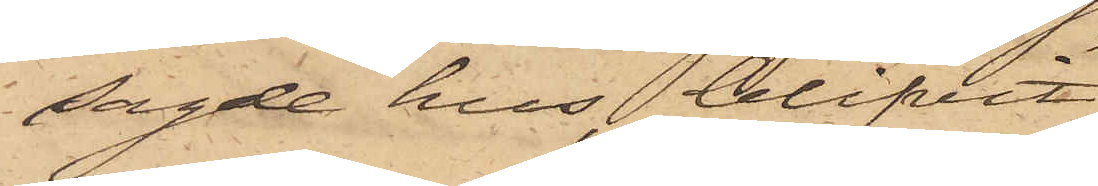sagde hus, blifvit
